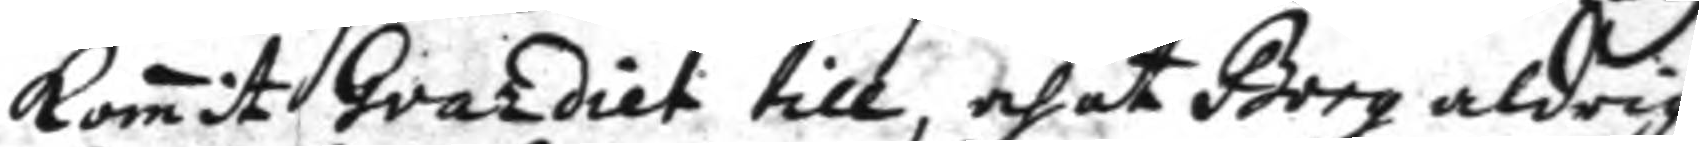komit Guardiet till, och at Borg aldrig
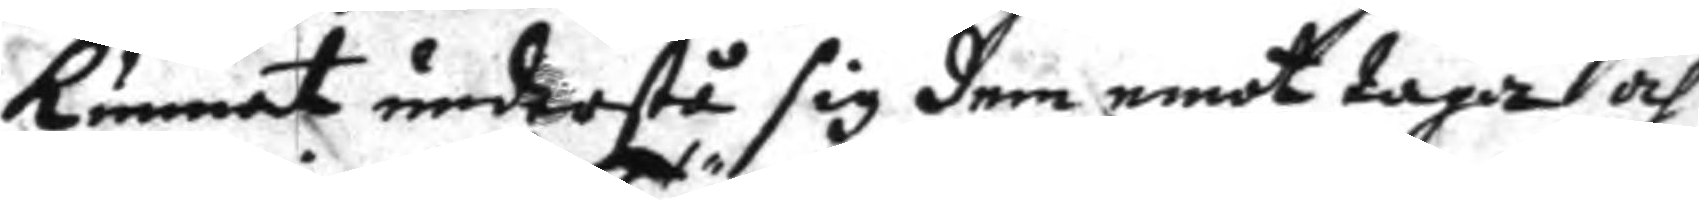kunnat understå sig dem emot taga och
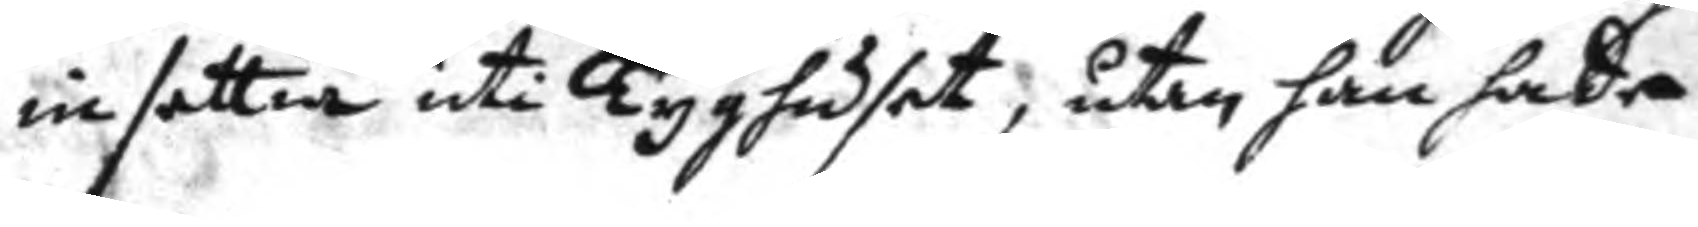insettia uti Tyghuset, utan han hade
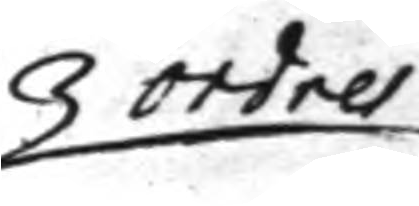ordres
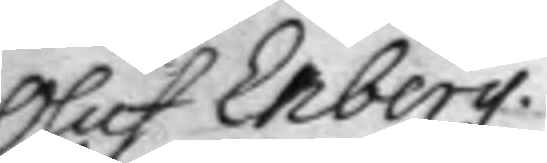oluf Enberg
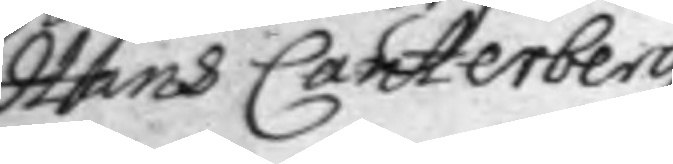Hans Canterberg
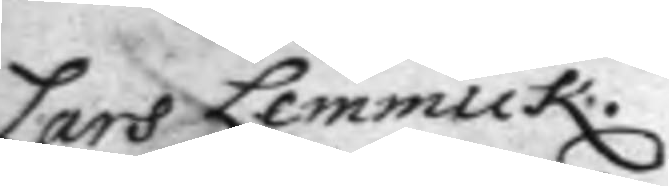Lars Lemmick
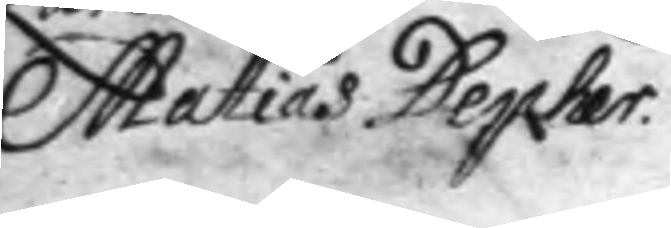Matias Depher
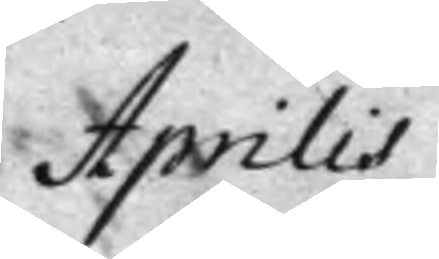Aprilis
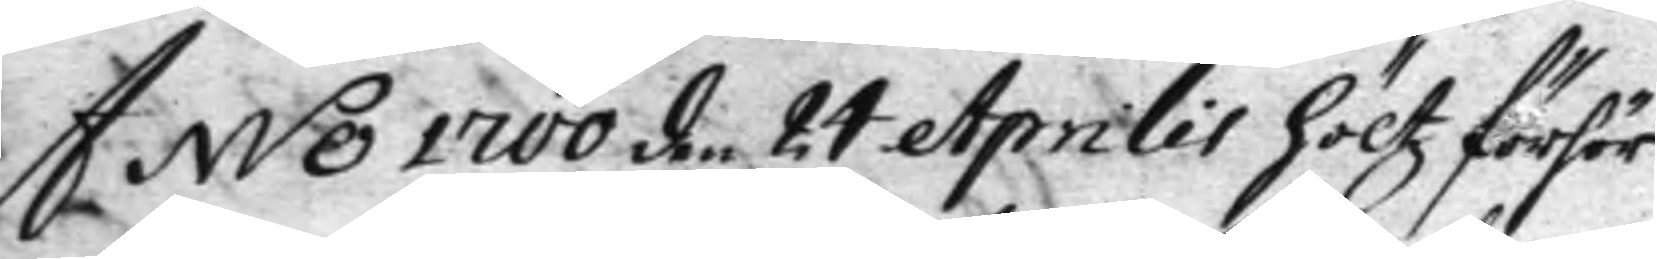Anno 1700 den 24 Aprilis höltz förhör
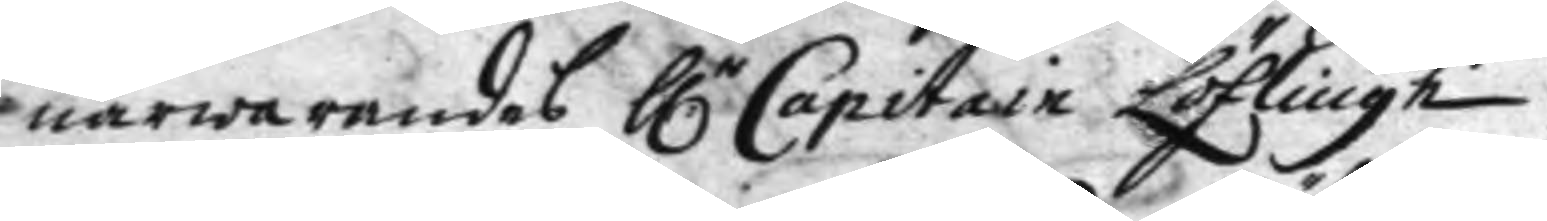närwarandes h.r Capitain Löflingh
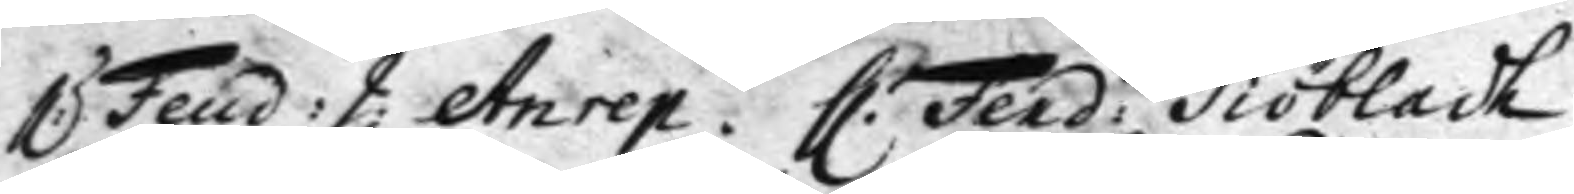h:r Fend: J: Anrep. h:r Fend: Siöbladh
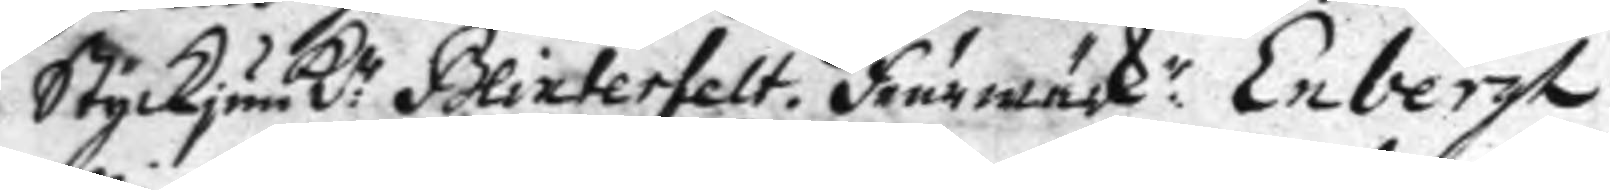Styckjunk:n Blixterfelt, feurwärk:n Enbergh
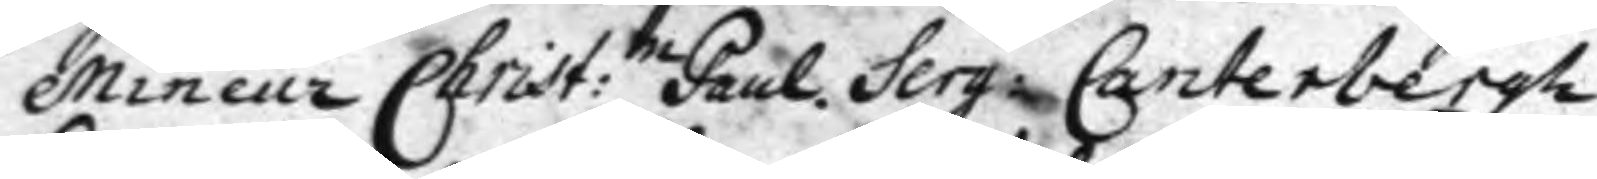Mineur Christ:n Paul. Serg. Canterbergh
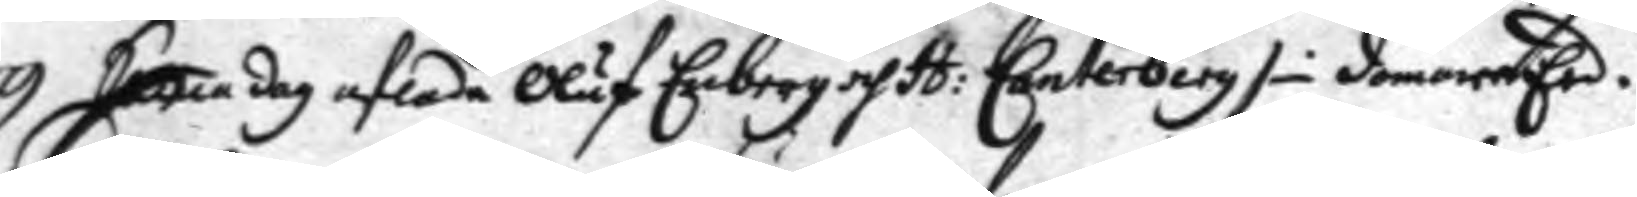Sama dag aflade Oluf Enberg och H: Canterberg sin domareEed.
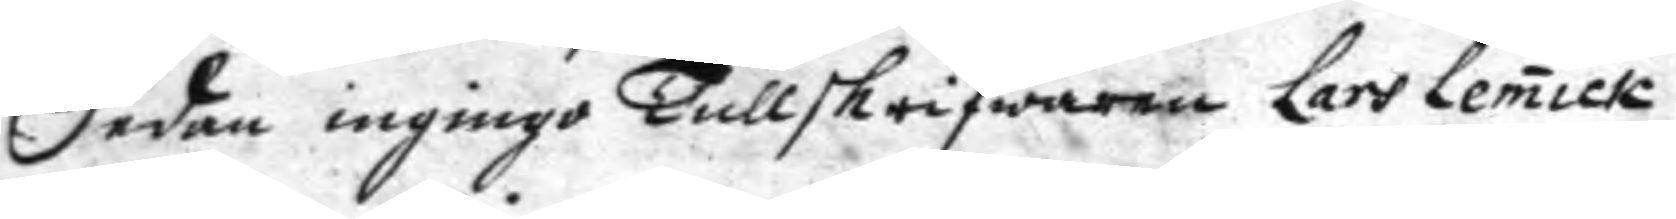Sedan ingingo Tullskrifwaren Lars Lemic
